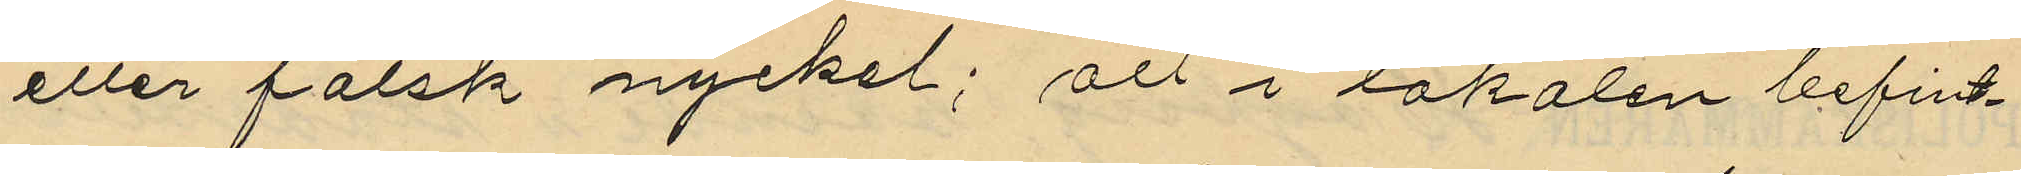eller falsk nyckel; att i lokalen befint¬
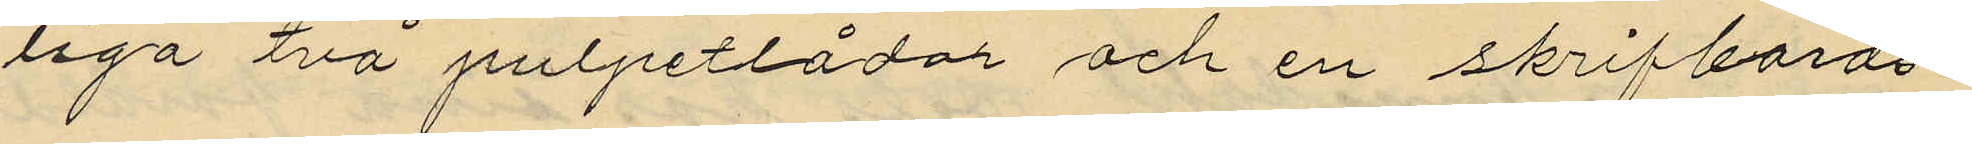liga två pulpetlådor och en skrifbords¬
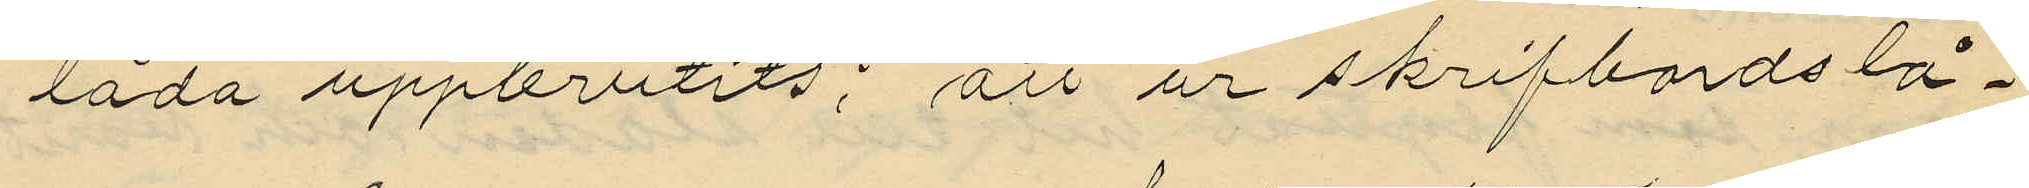låda uppbrutits; att ur skrifbordslå¬
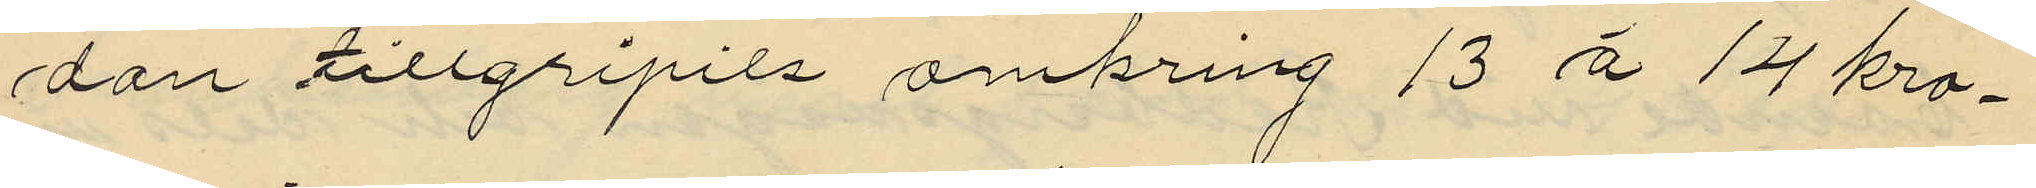dan tillgripits omkring 13 á 14 kro¬
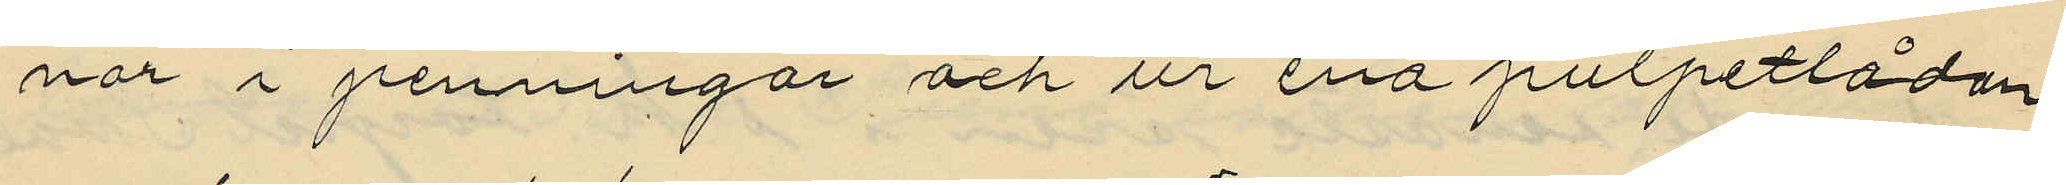nor i penningar och ur ena pulpetlådan
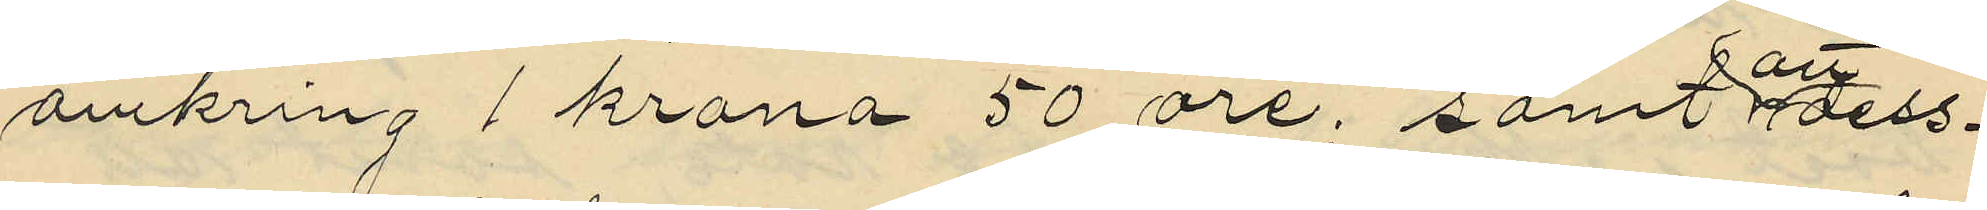omkring 1 krona 50 öre, samt att dess¬
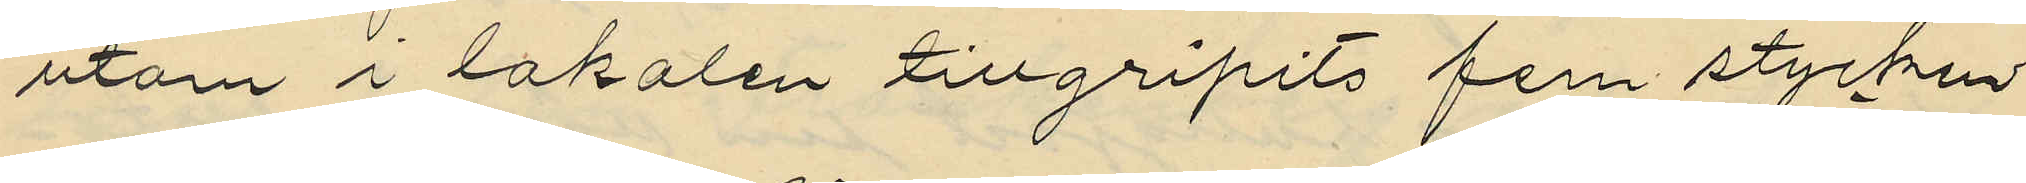utom i lokalen tillgripits fem stycken
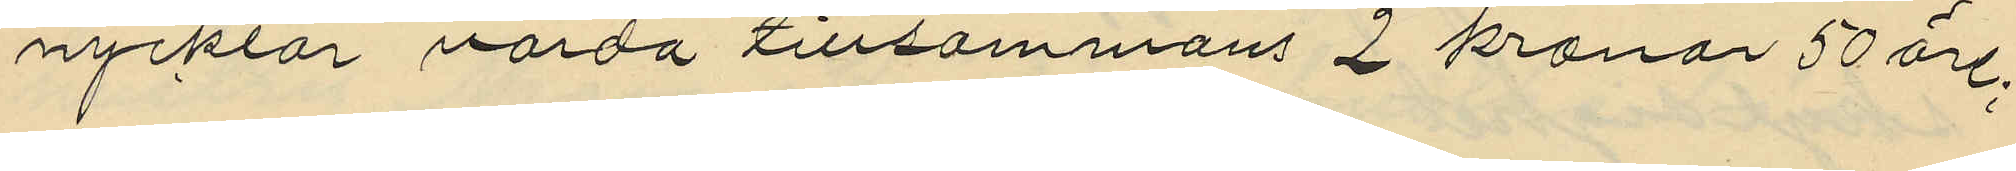nycklar värda tillsammans 2 kronor 50 öre;
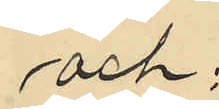och;
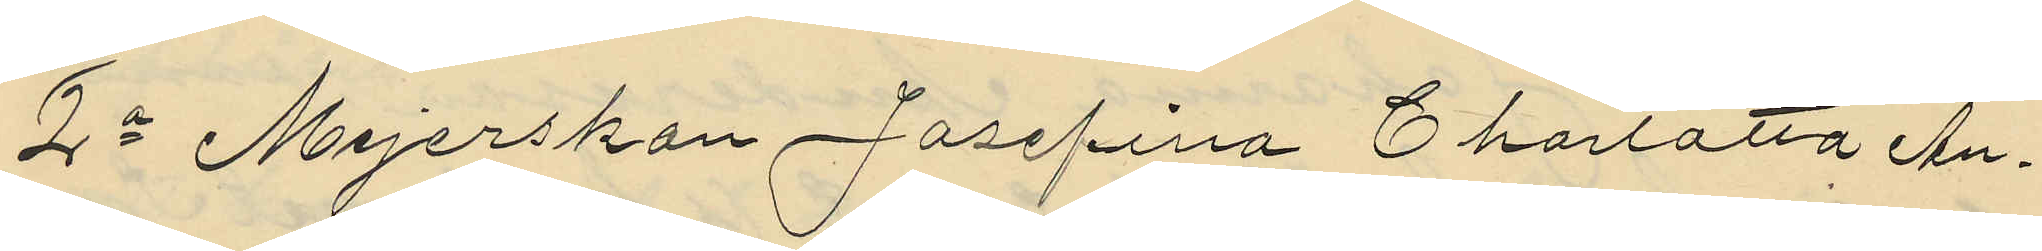2o Mejerskan Josefina Charlotta An¬
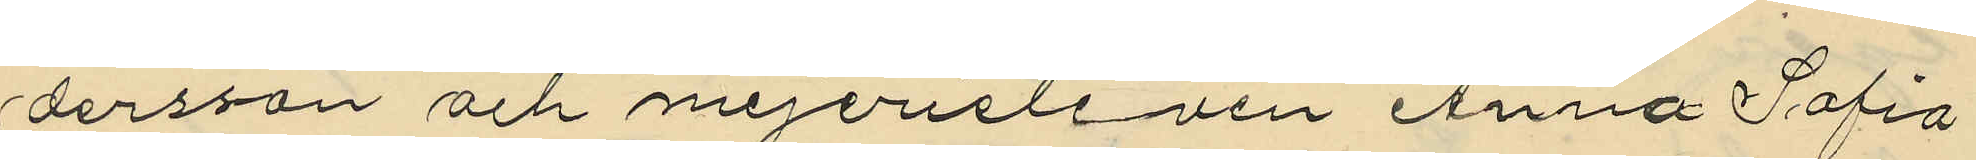dersson och mejerieleven Anna Sofia
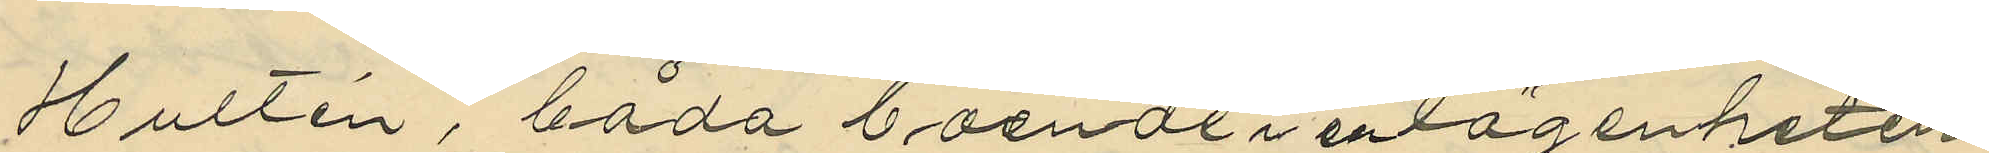Hultén, båda boende i en lägenheten
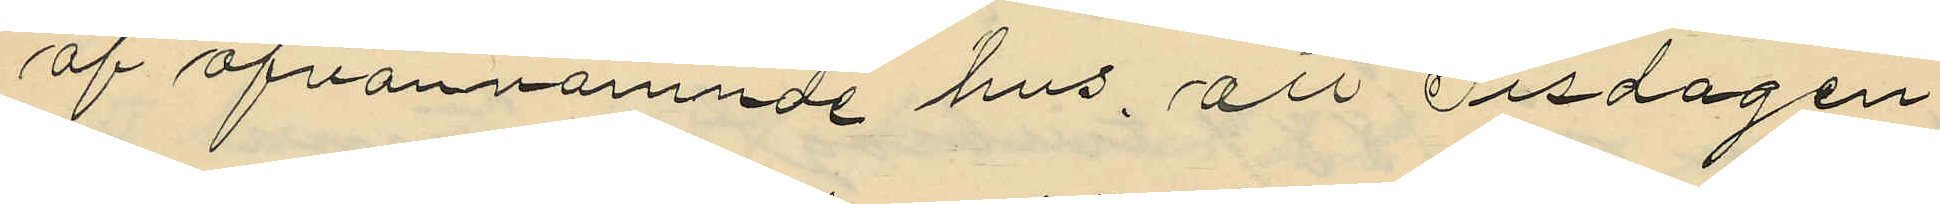af ofvannämnde hus, att Tisdagen
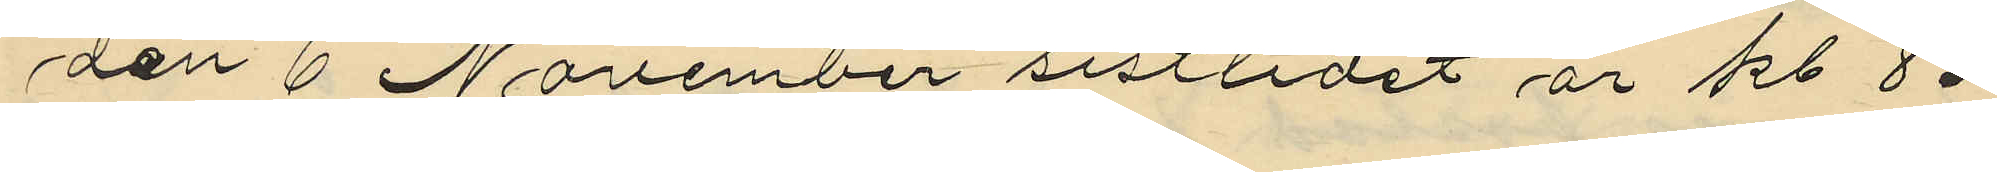den 6 November sistlidet år kl. 8-
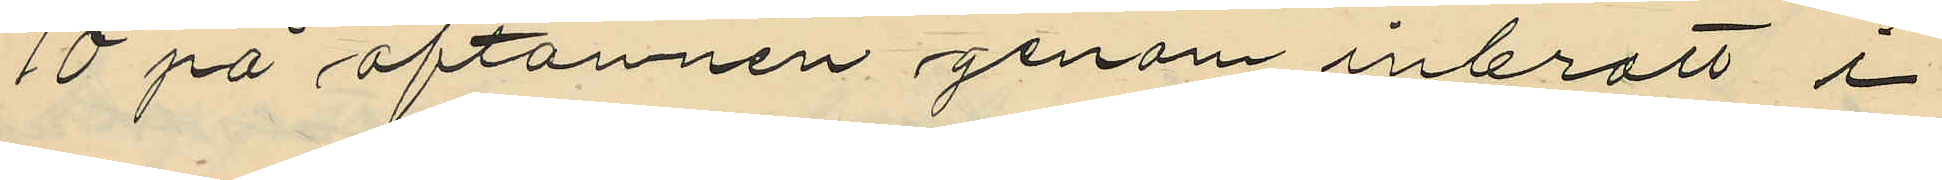10 på aftonnen genom inbrott i
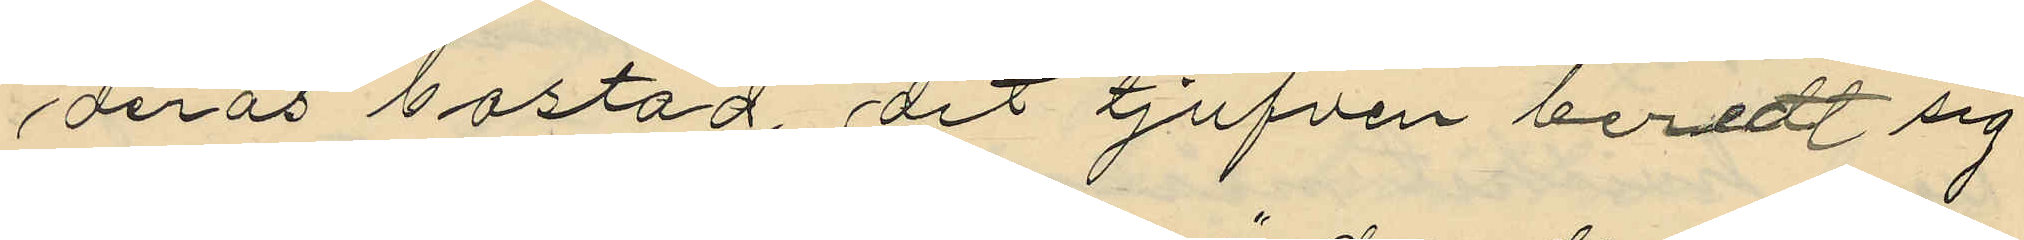deras bostad, dit tjufven beredt sig
